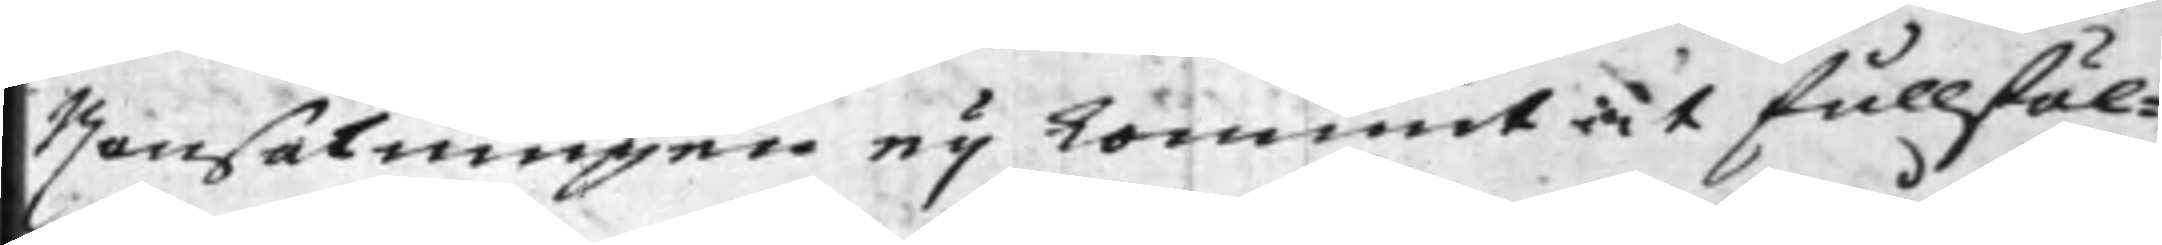Ransakningen ey kommit at fullföl¬
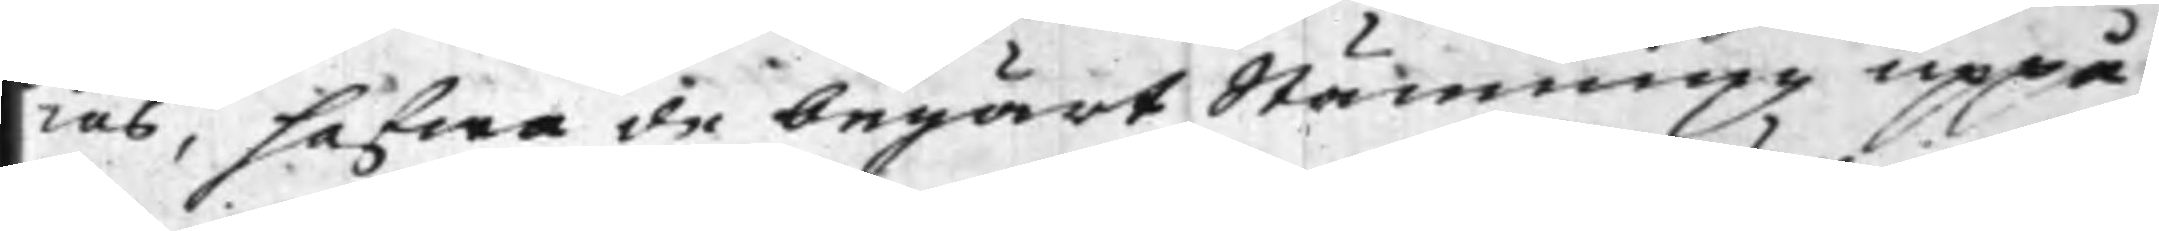ias. hafwa de begärt Stämning uppå
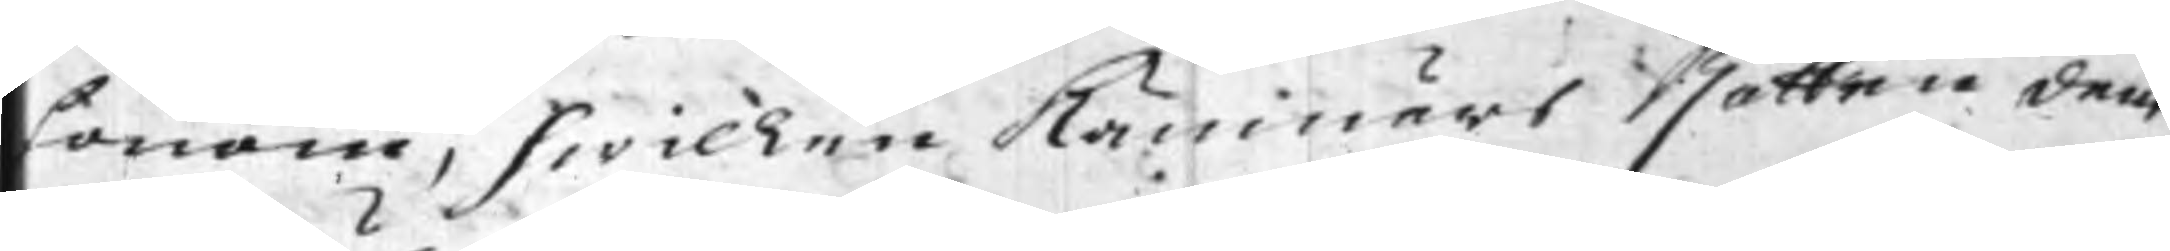honom, hwilcken Kämnärs Rätten dem
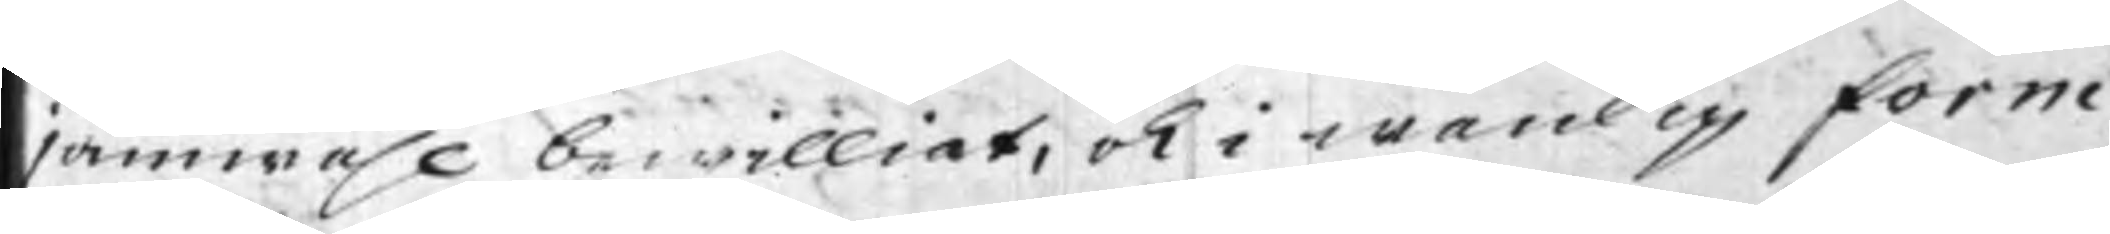jämwähl bewilliat, och i wanlig form
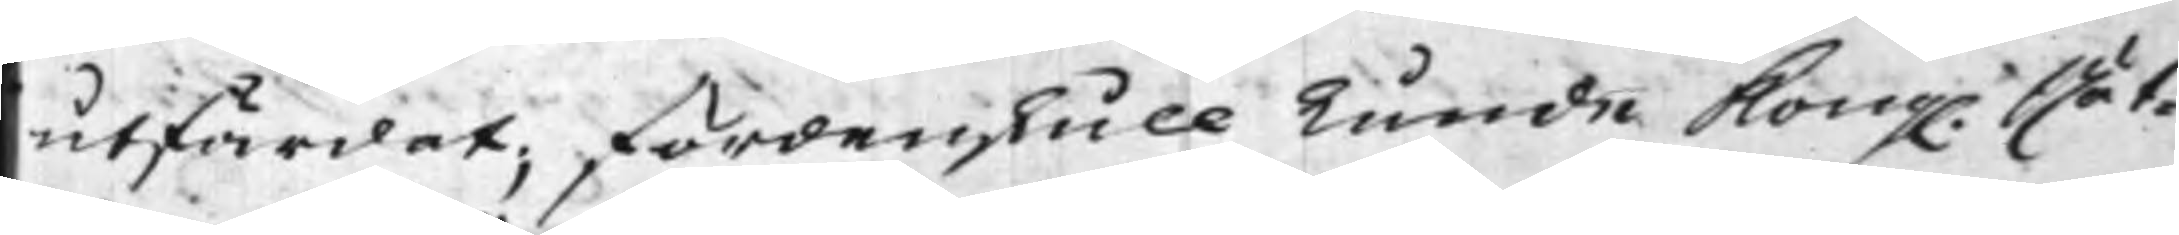utfärdat, fördenskull kunde Kong. Rät¬
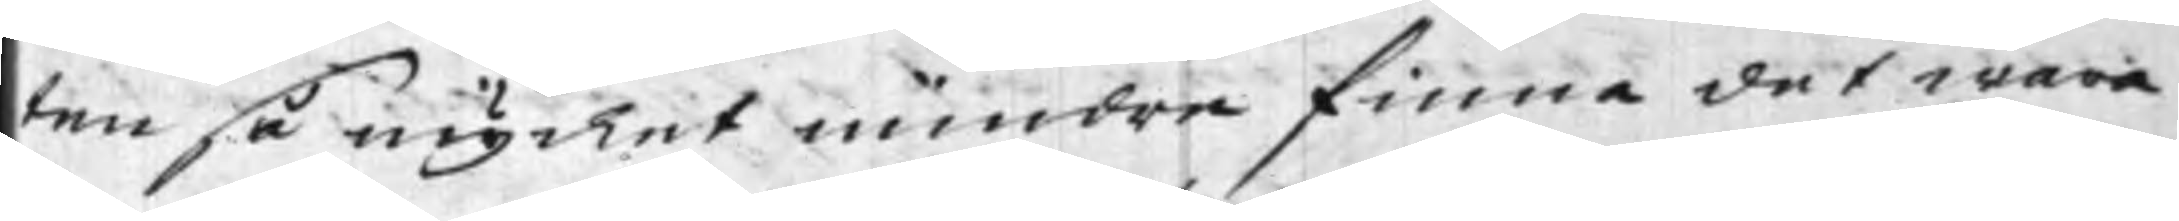ten så mycket mindre finna det wara
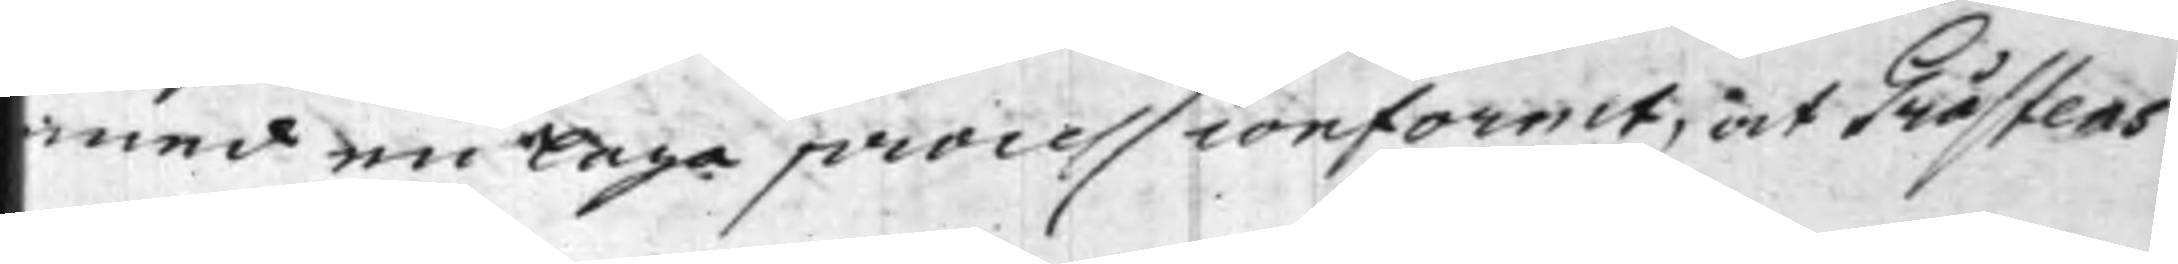med en laga process conformt, och Gråstens
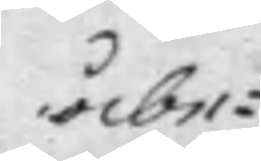åbe¬
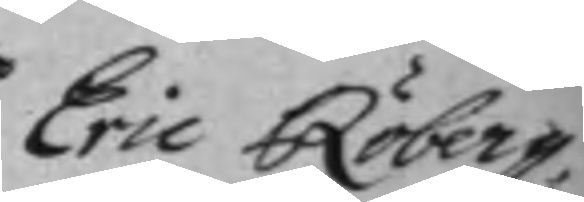Eric Röberg,
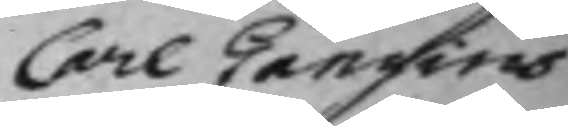Carl Gangius
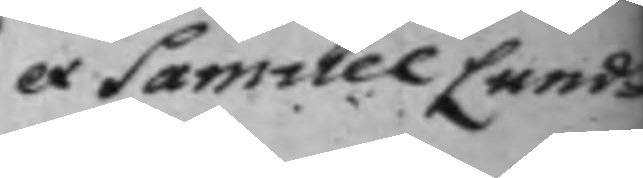et Samuel Lund¬
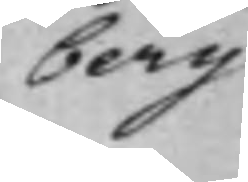berg
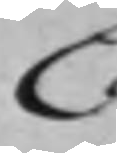C
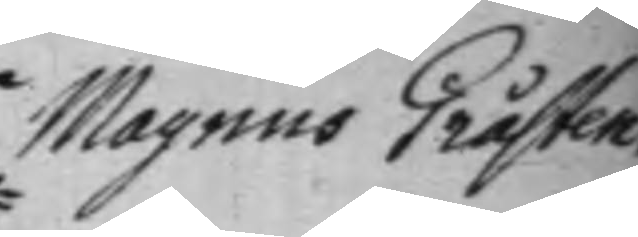Magnus Gråsten.
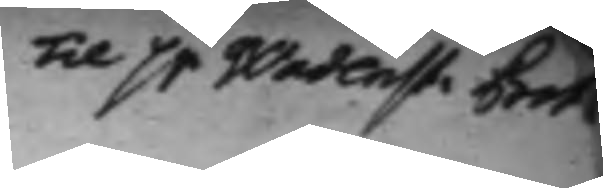Til Sr Wadenst. Bet.
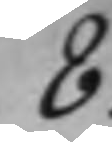8.
